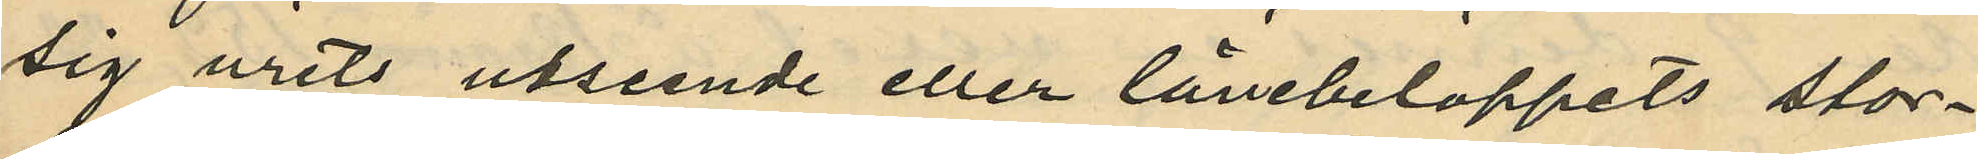sig urets utseende eller lånebeloppets stor¬
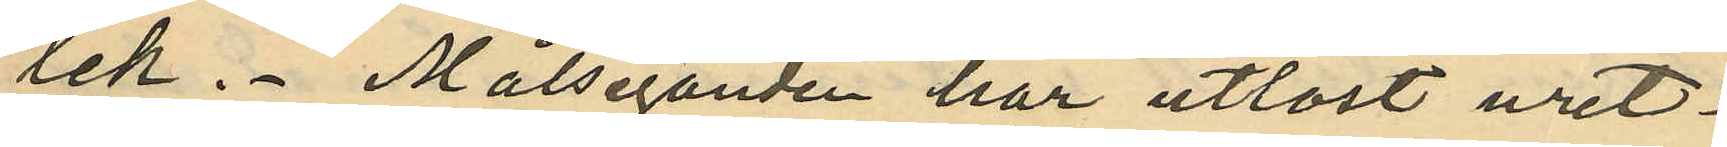lek. Målseganden har utlöst uret.
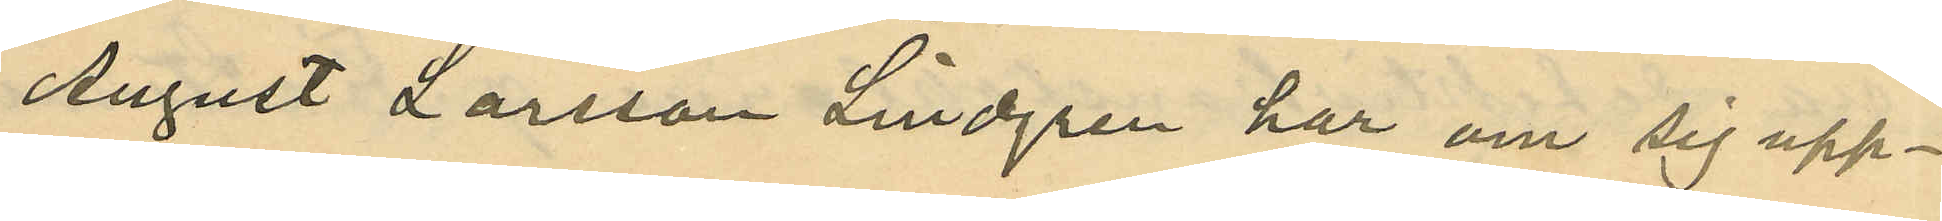August Larsson Lindgren har om sig upp¬
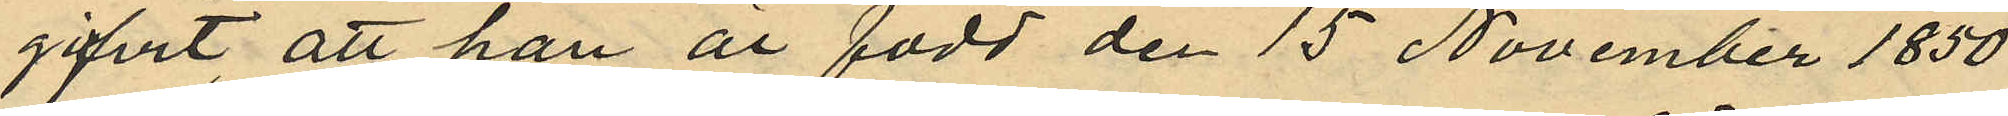gifvit att han är född den 15 November 1850
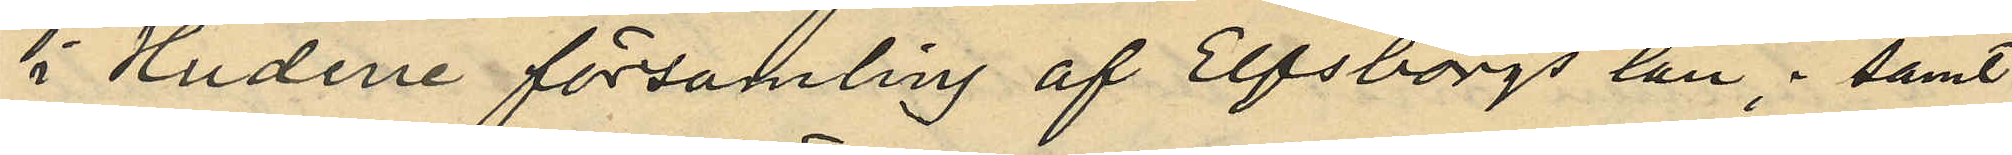i Hudene församling af Elfsborgs län; samt
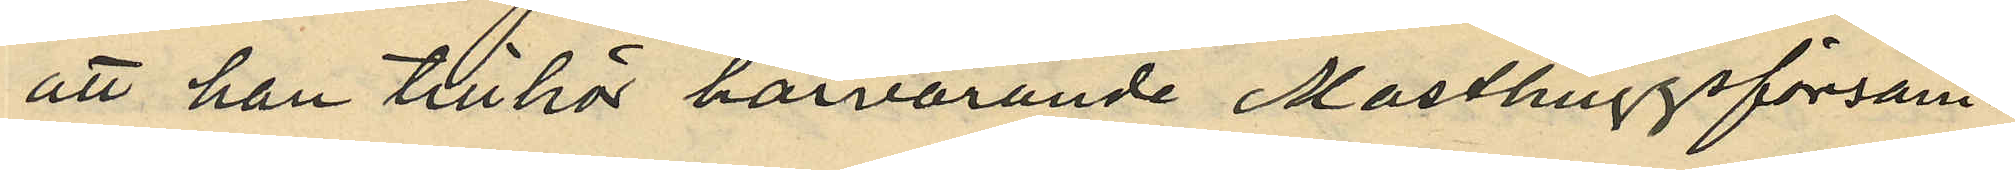att han tillhör härvarande Masthuggsförsam¬
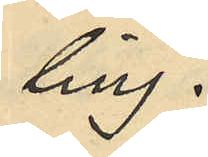ling.
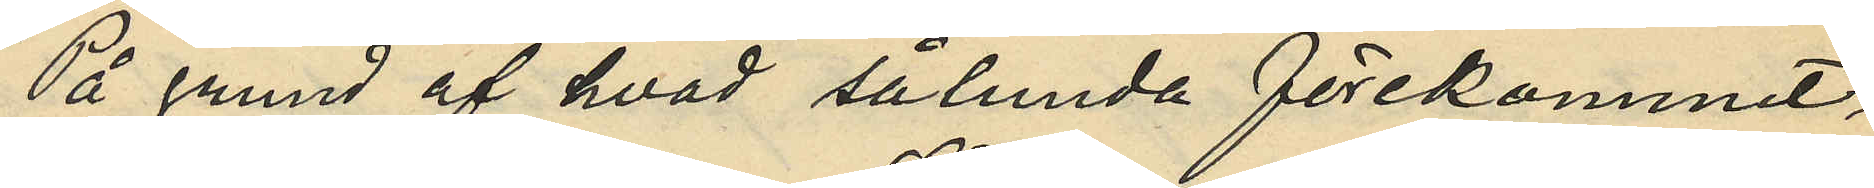På grund af hvad sålunda förekommit,
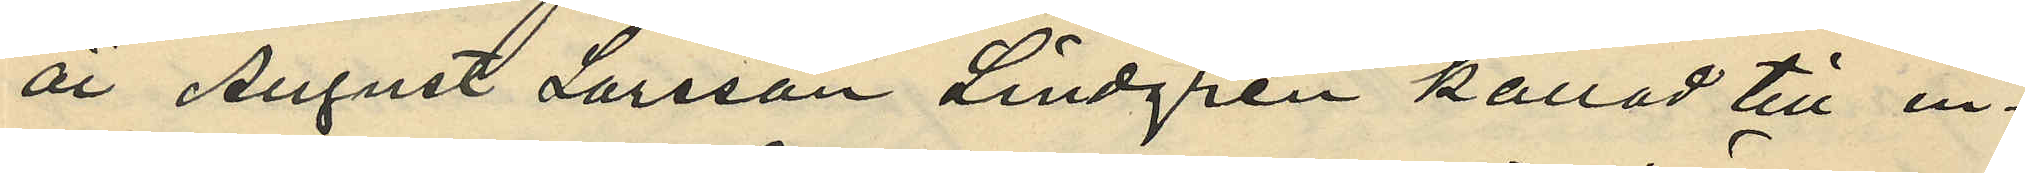är August Larsson Lindgren kallad till in¬
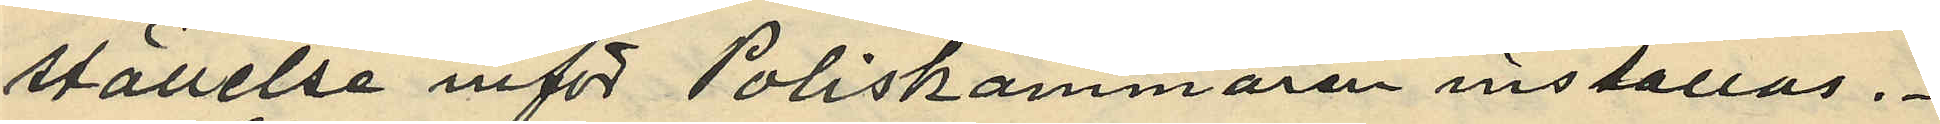ställelse inför Poliskammaren inställas.
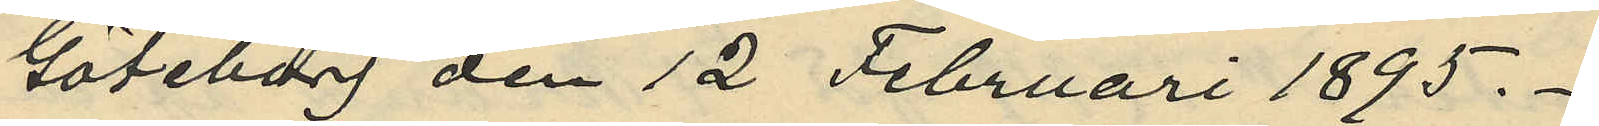Göteborg den 12 Februari 1895.
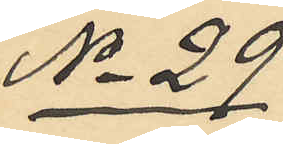No 29
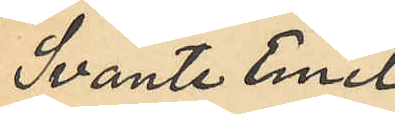Svante Emil
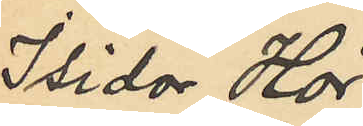Isidor Hör¬
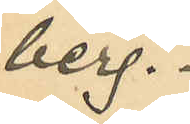berg.
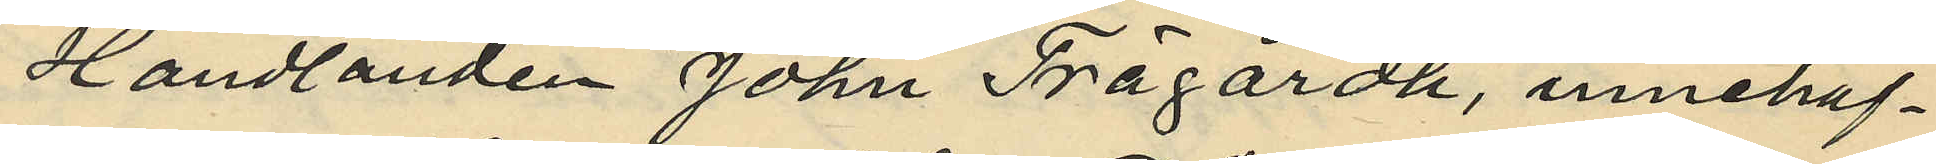Handlanden John Trägårdh, innehaf¬
